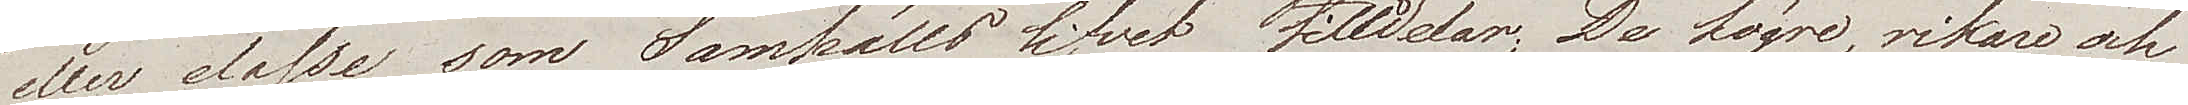eller classe. som Samhälls lifvet tilldelar; De högre, rikare och
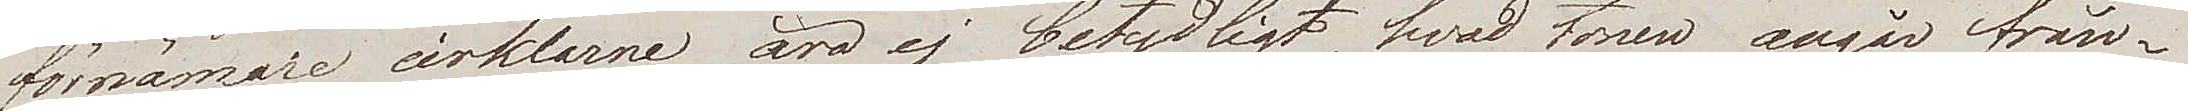förnämare cirklarne äro ej betydligt, hvad tonen angår från¬
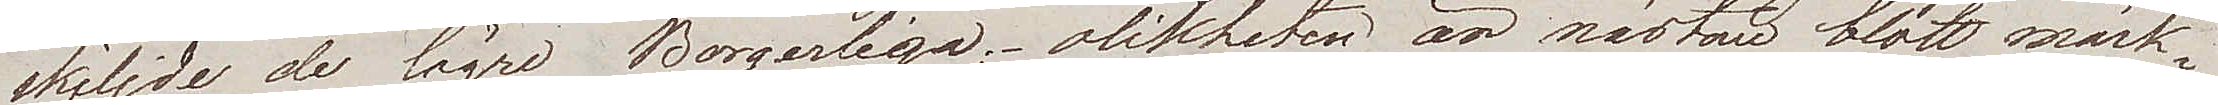skiljde de lägre Borgerliga; olikheten är nästan blott märk¬
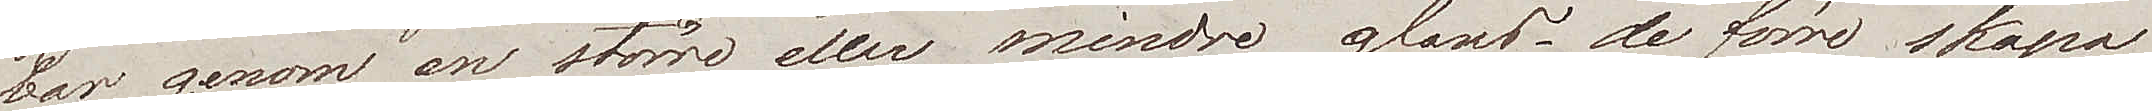bar genom en större eller mindre glans, de förre skapa
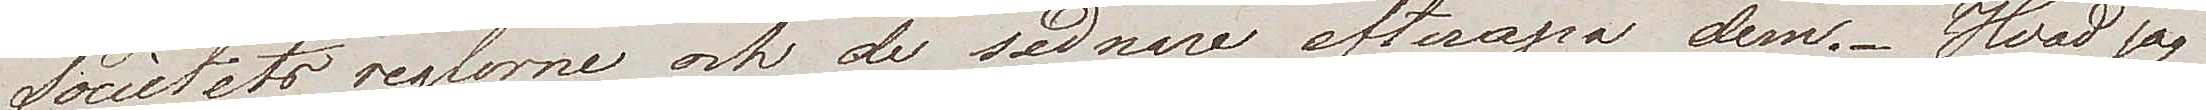Societetsreglorne och de sednare efterapa dem. Hvad jag
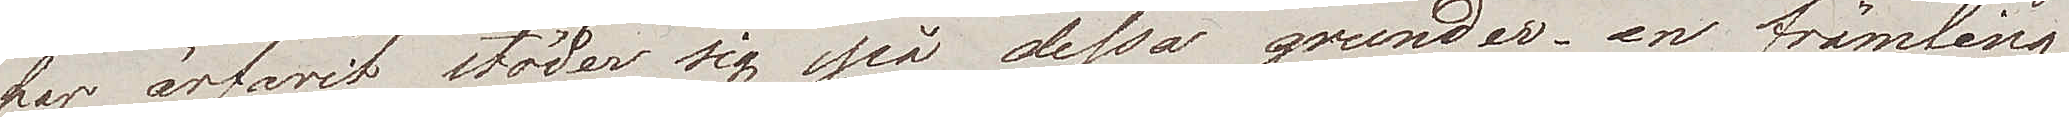har ärfarit stöder sig på dessa grunder – en främling
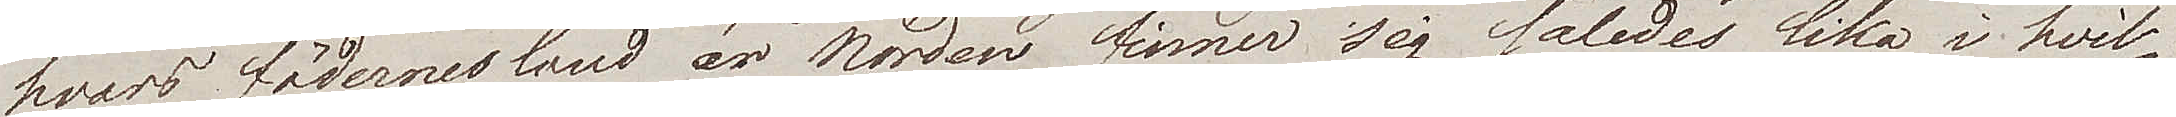hvars fädernesland är Norden finner sig således lika i hvil¬
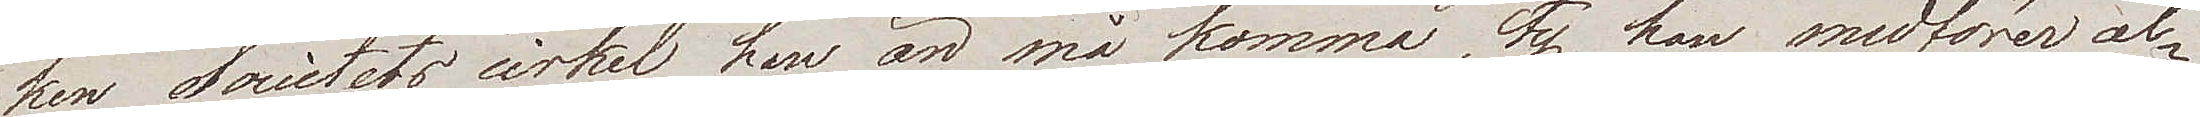ken Societets cirkel han än må komma, ty han medförer al¬
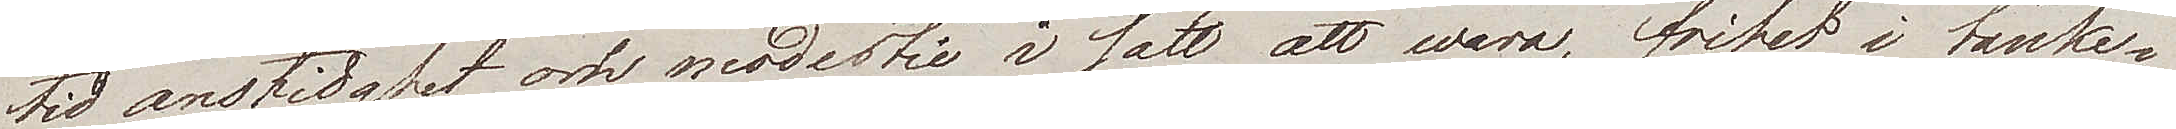tid anständighet och modestie i sätt att wara, frihet i tanke¬
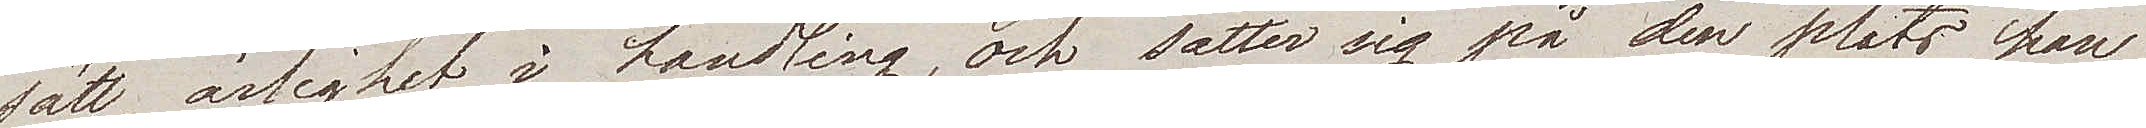sätt, ärlighet i handling, och sätter sig på  den plats han
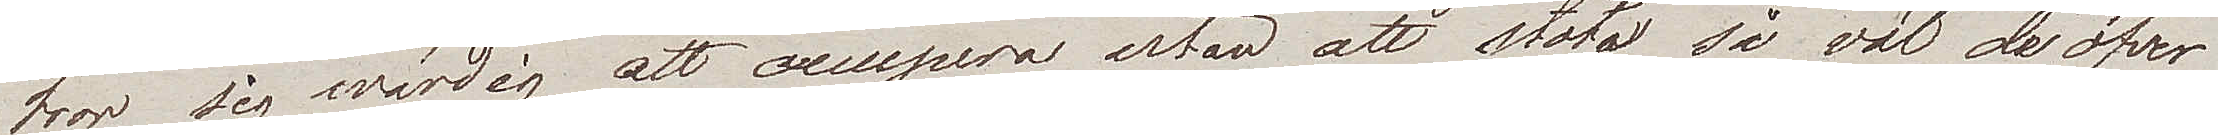tror sig wärdig att occupera utan att stöta så väl de öfver
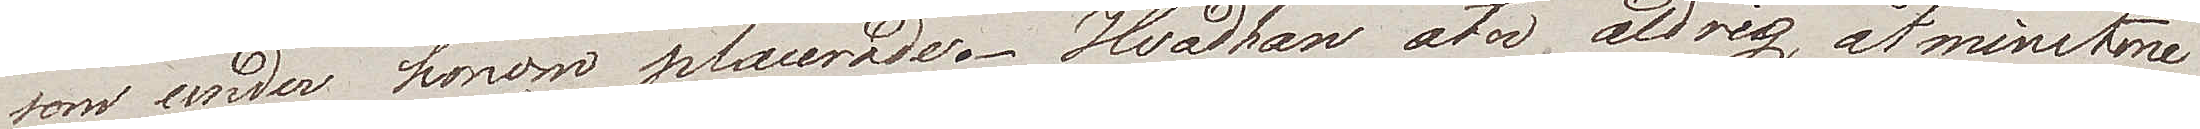som under honom placerade. Hvad han åter aldrig, åtminstone
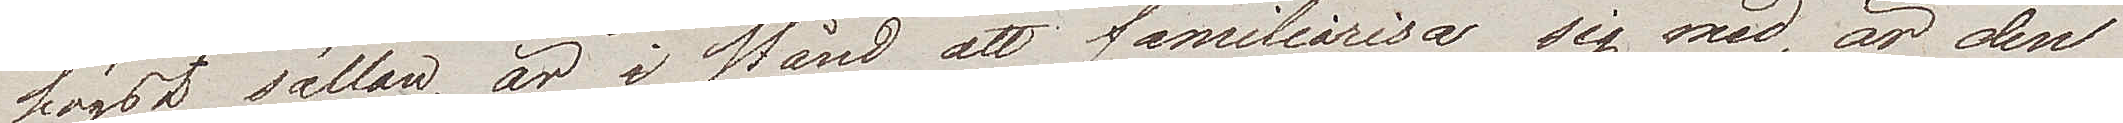högst sällan, är i stånd att familiarisa sig med, är den
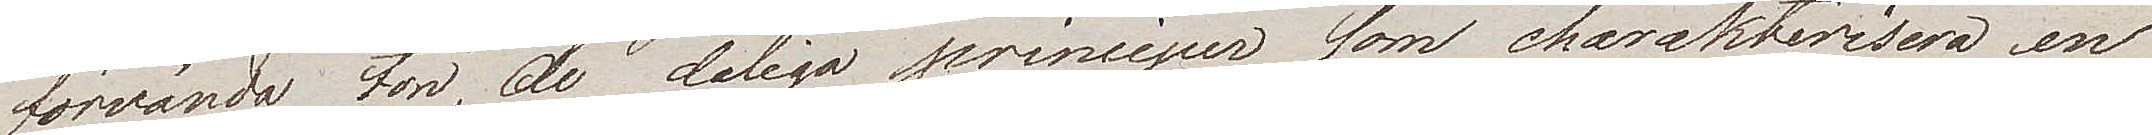förvända ton, de dåliga principer som charakterisera en
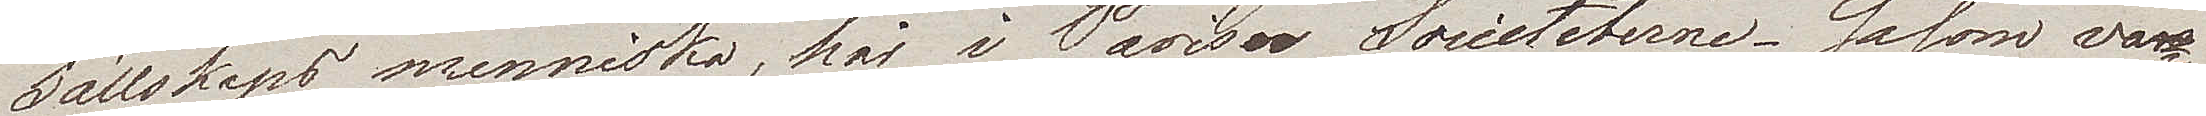Sällskaps menniska,  här i Paris Societeterne. Såsom va¬
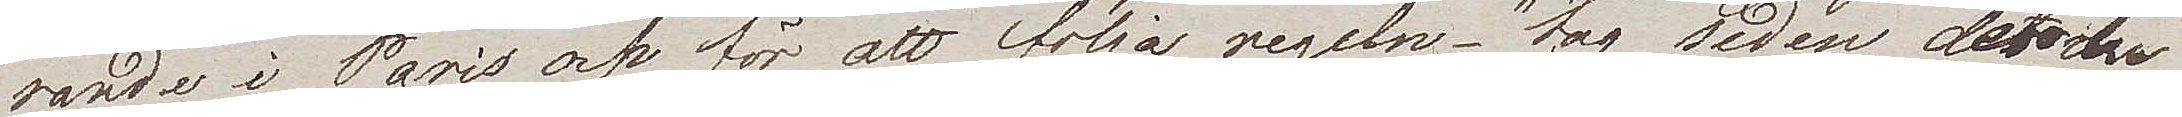rande i Paris och för att följa regeln "tag seden dit du
